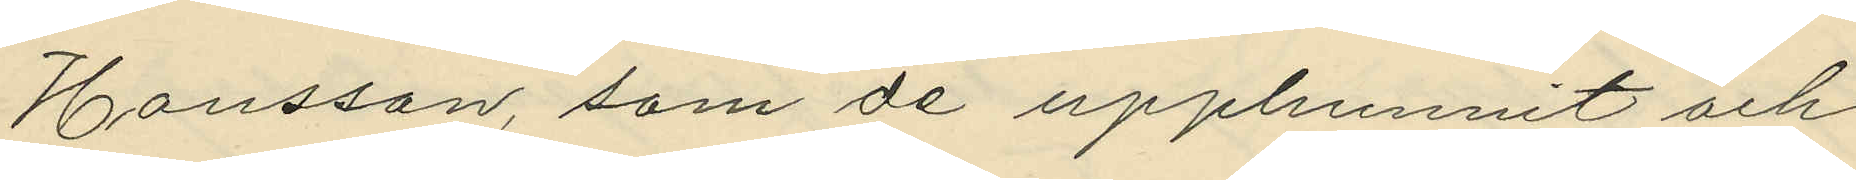Hansson, som de upphunnit och
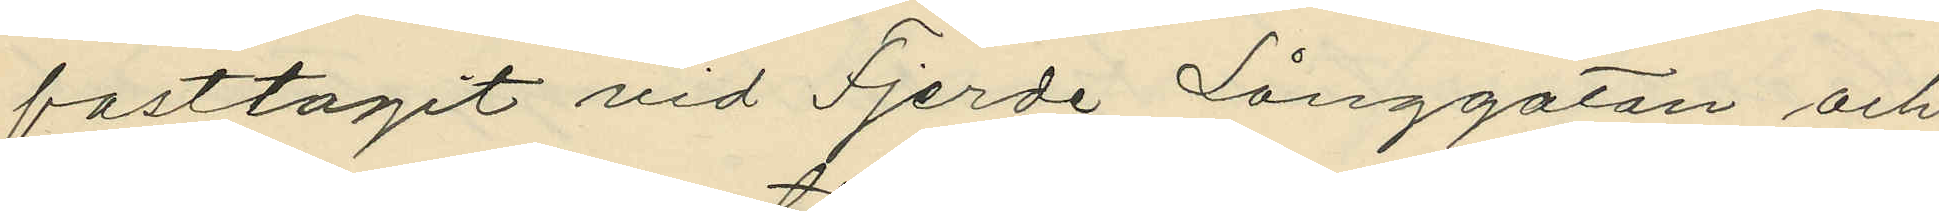fasttagit vid Fjerde Långgatan och
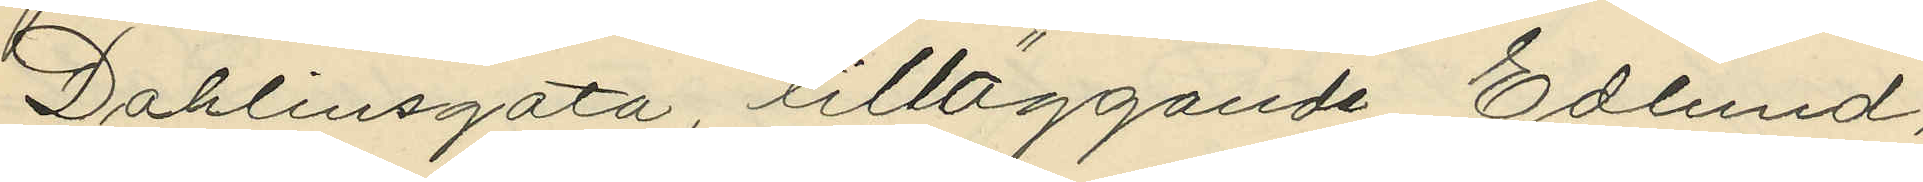Dahlinsgata, tilläggande Edlund,
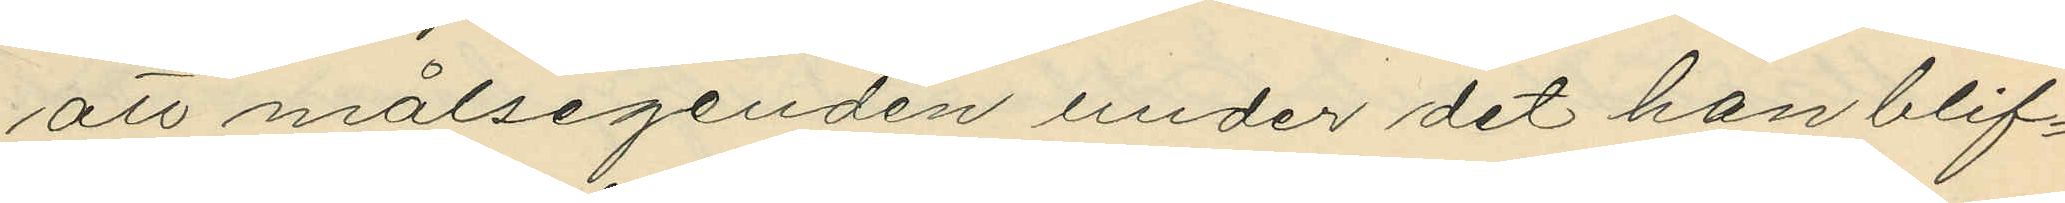att målsegenden under det han blif¬
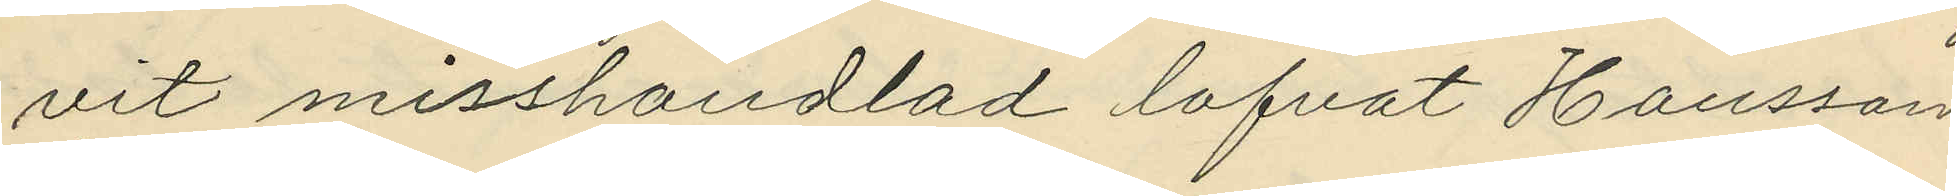vit misshandlad lofvat Hansson
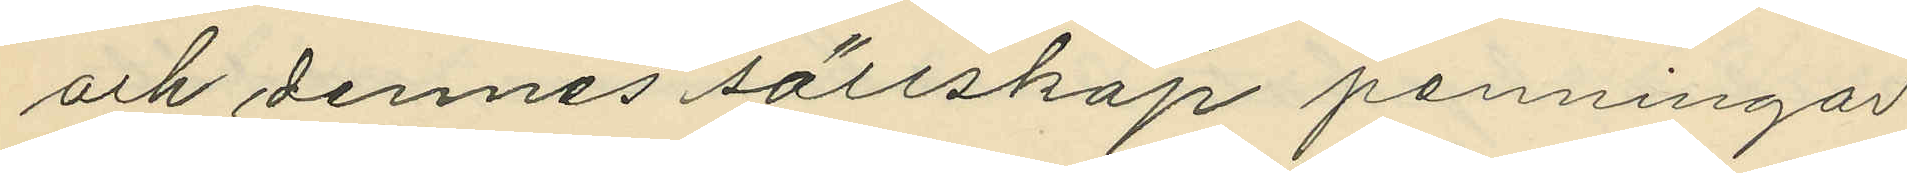och dennes sällskap penningar
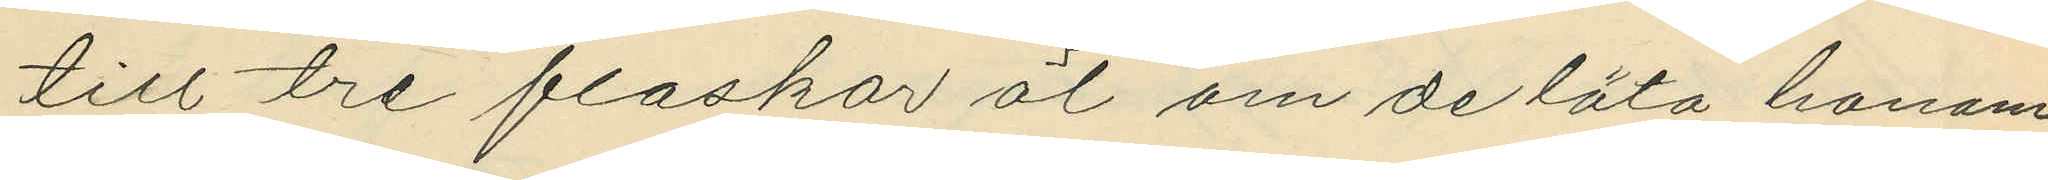till tre flaskor öl om de läta honom
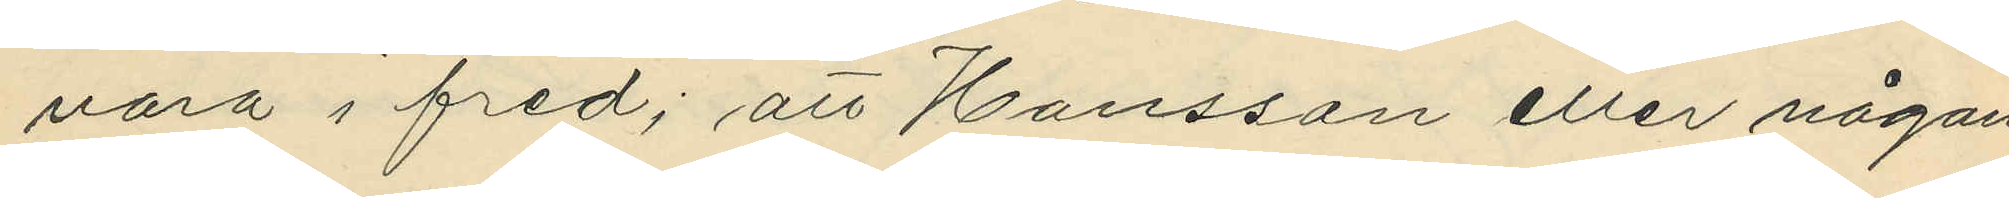vara i fred; att Hansson eller någon
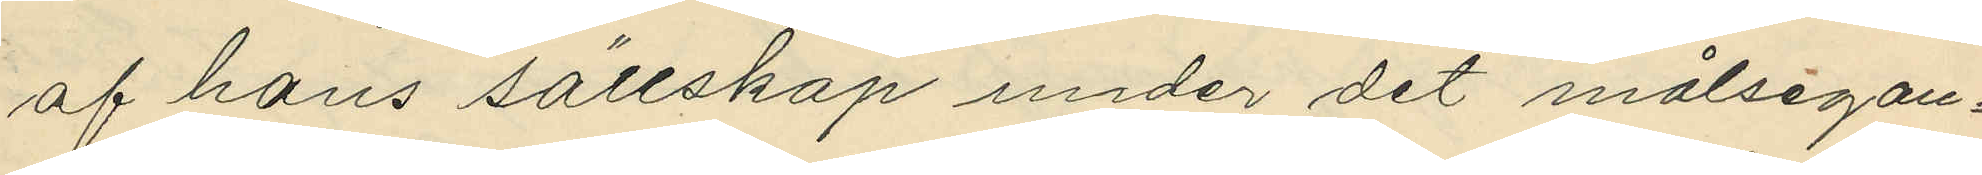af hans sällskap under det målsegan¬
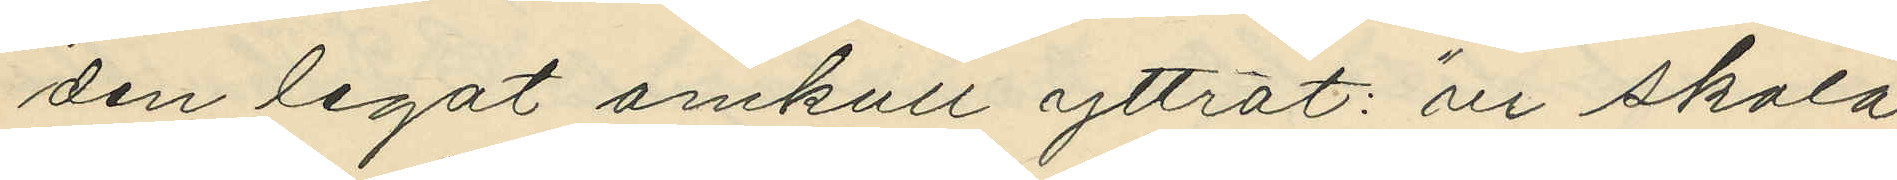den legat omkull yttrat: "vi skola
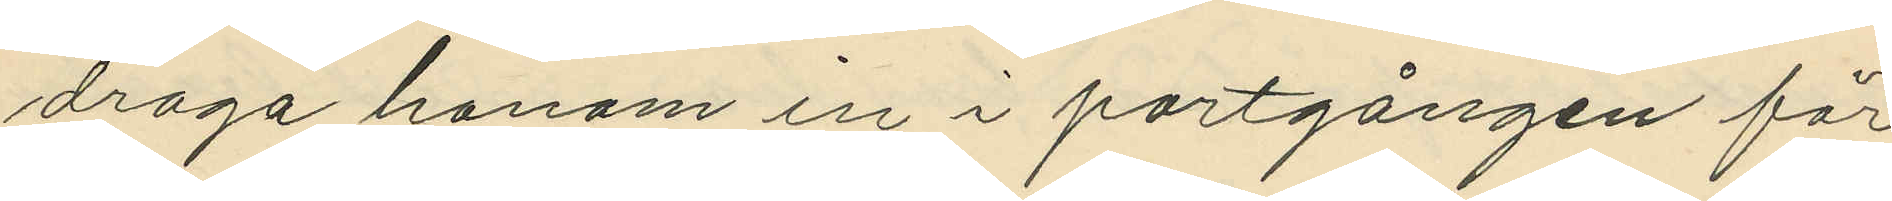draga honom in i portgången för
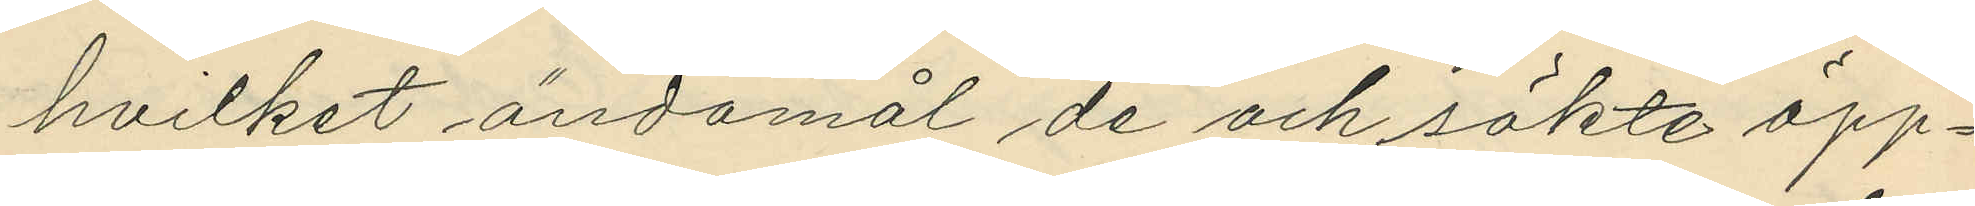hvilket ändamål de och sökte öpp¬
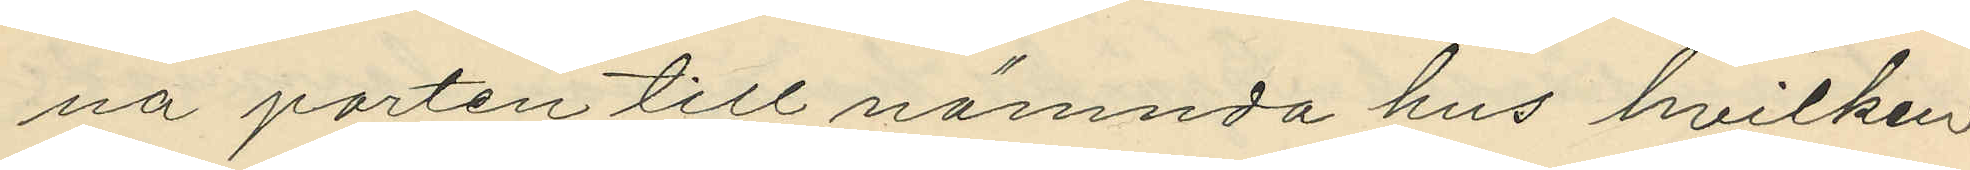na porten till nämnda hus hvilken
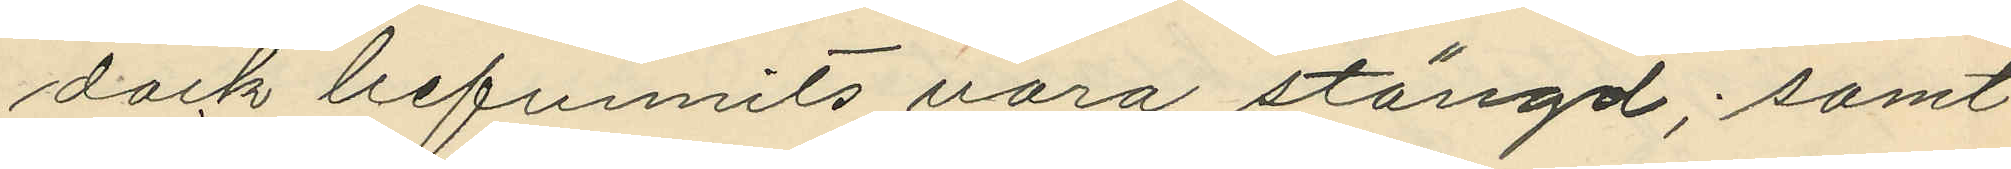dock befunnits vara stängd; samt
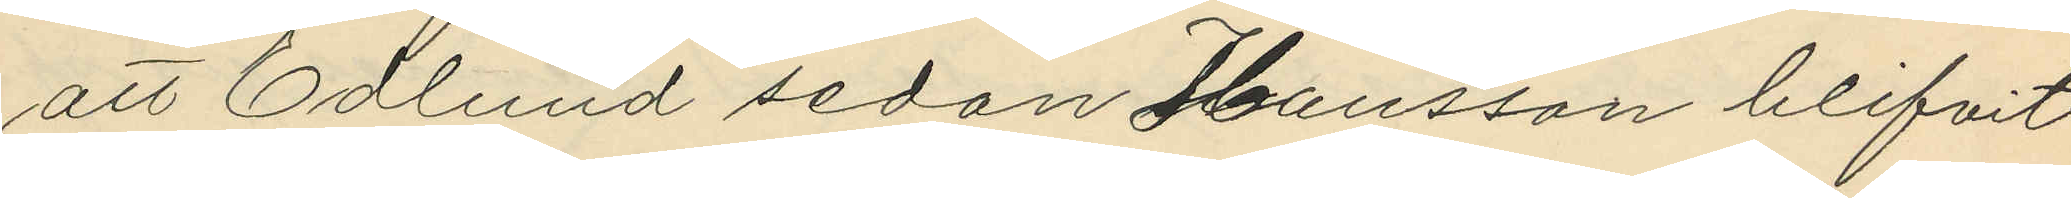att Edlund sedan Hansson blifvit
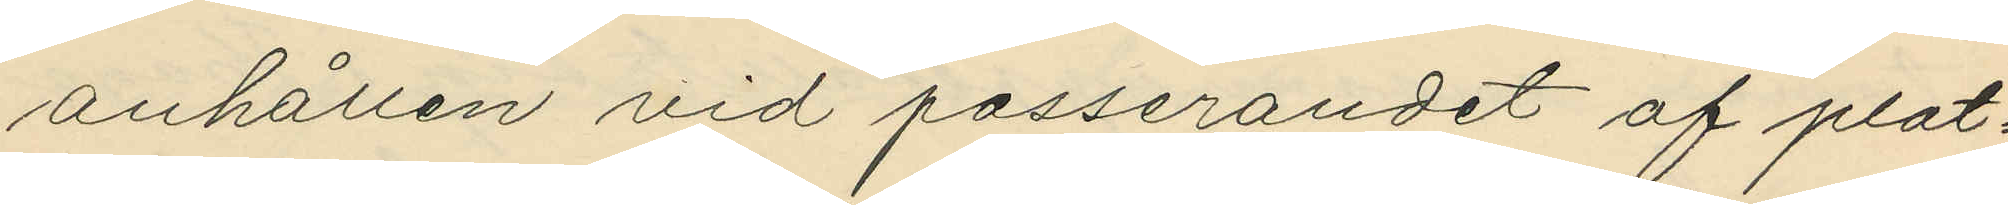anhållen vid passerandet af plat¬
